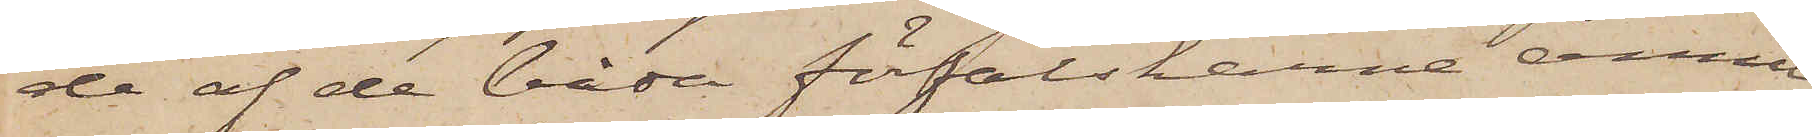de af de båda förfalskarne ännu
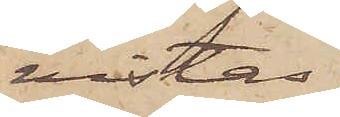vistas
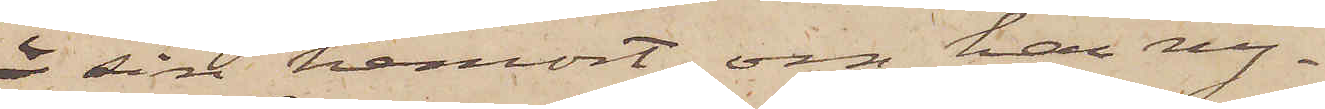i sin hemort, om han ny¬
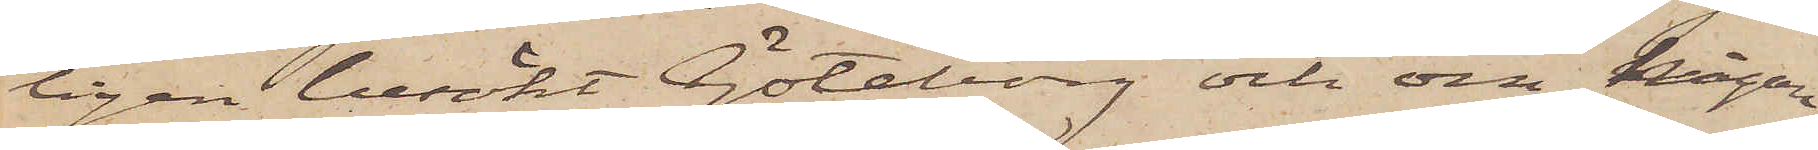ligen besökt Göteborg och om någon
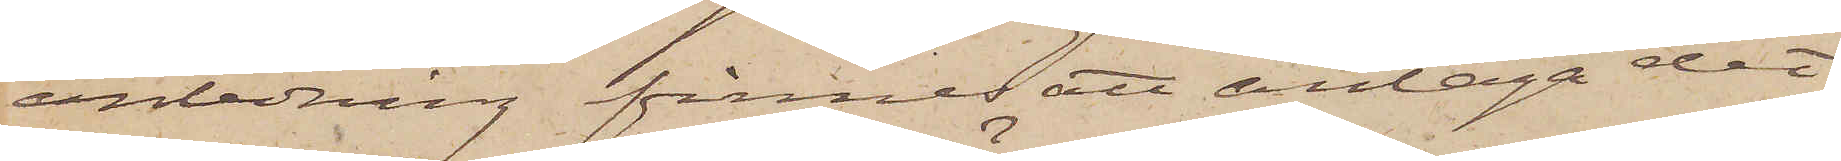anledning finnes att antaga det
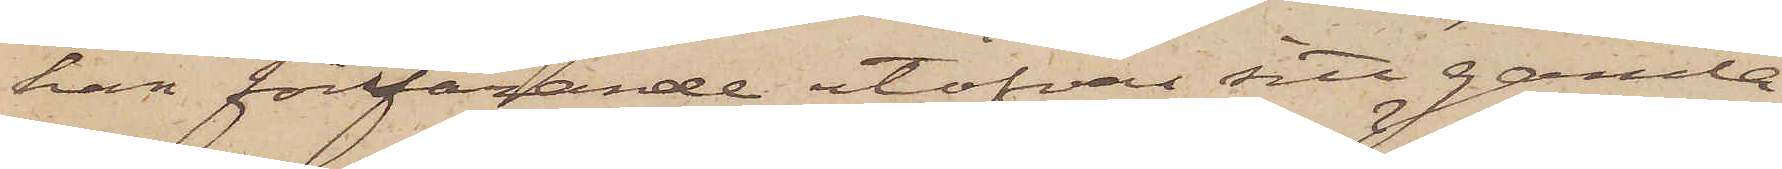han fortfarande utöfvar sitt gamla
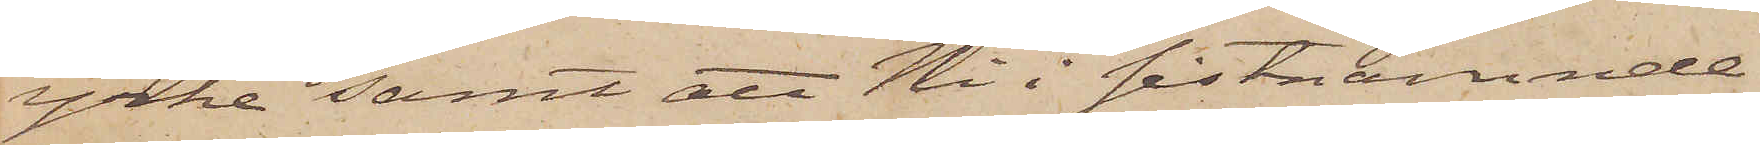yrke samt att Ni i sistnämnde
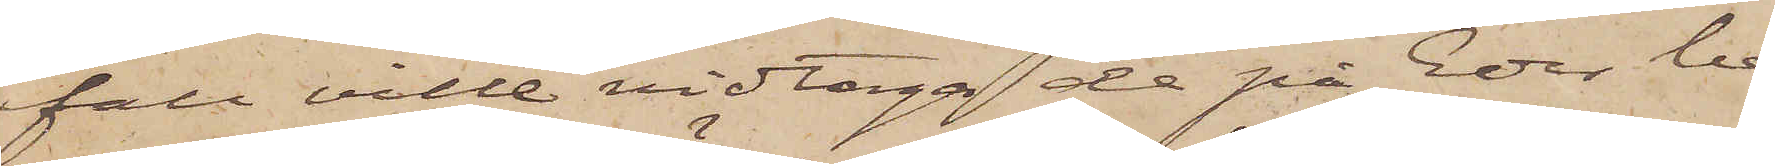fall ville vidtaga de på Eder be¬
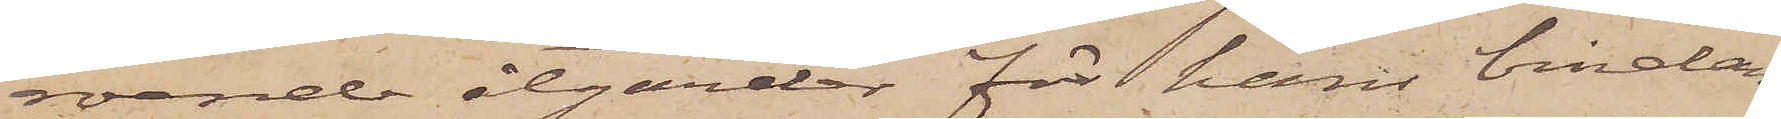roende åtgärder för hans bindan¬
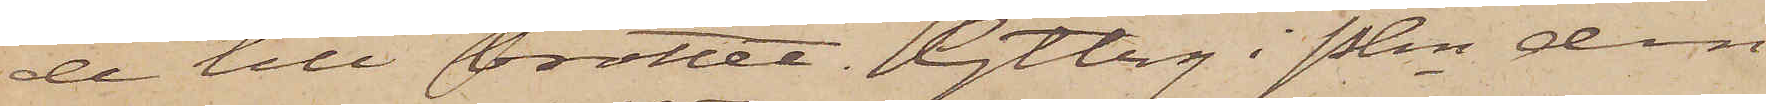de till brottet. Gtbrg i Pkn den
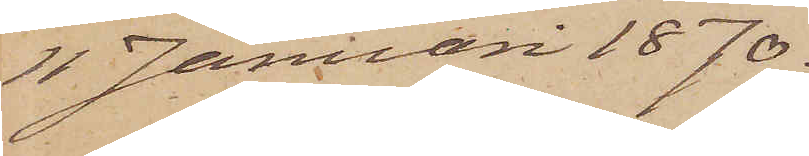11 Januari 1870.
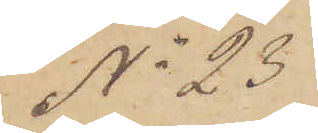No 23
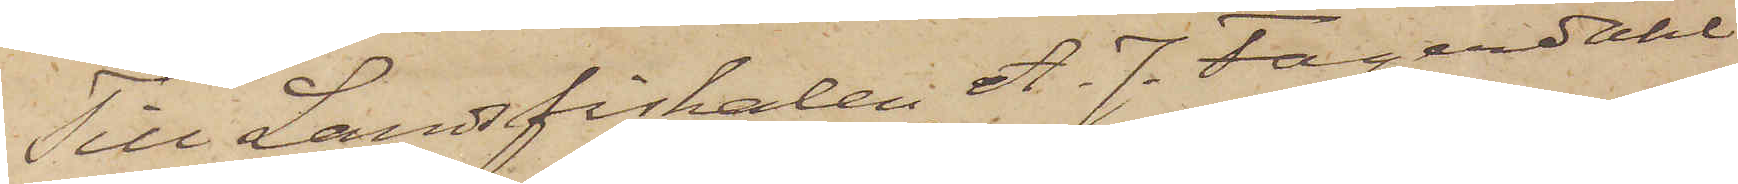Till Landsfiskalen A. J. Fagerdahl
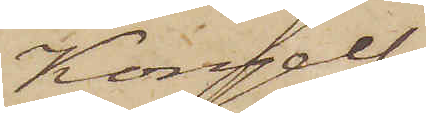Kongelf.
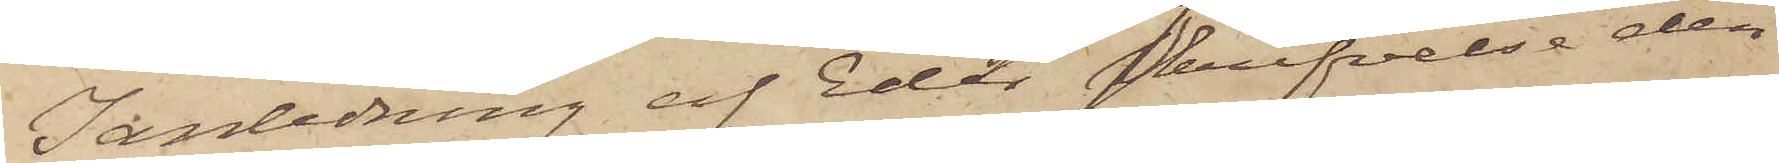I anledning af Eder skrifvelse den
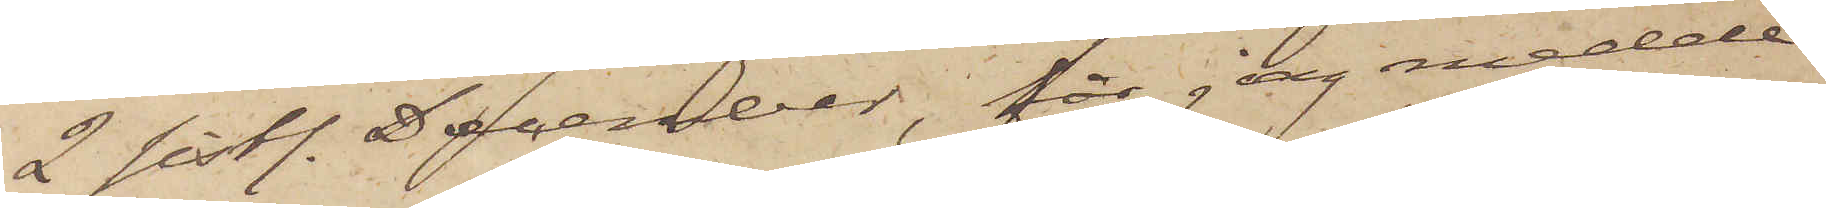2 sistl. December, får jag medde¬
